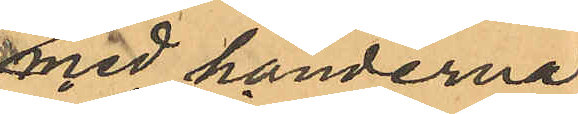med händerna
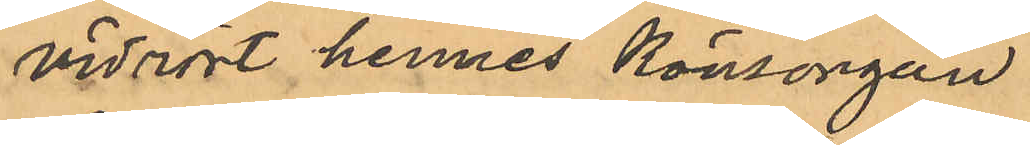vidrört hennes könsorgan
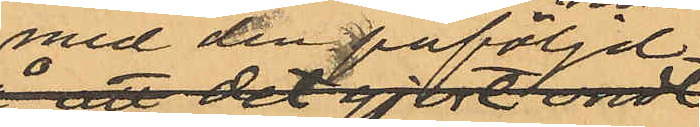med den påföljd
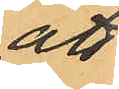att
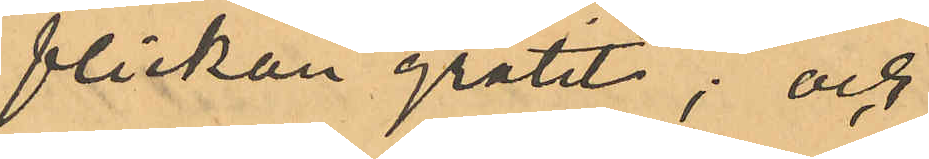flickan gråtit; och
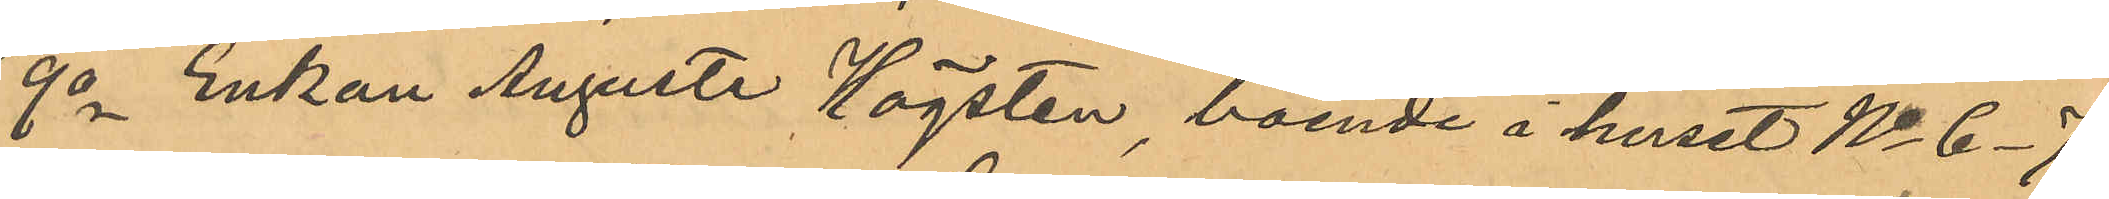9o Enkan Augusta Högsten, boende i huset No 6-7
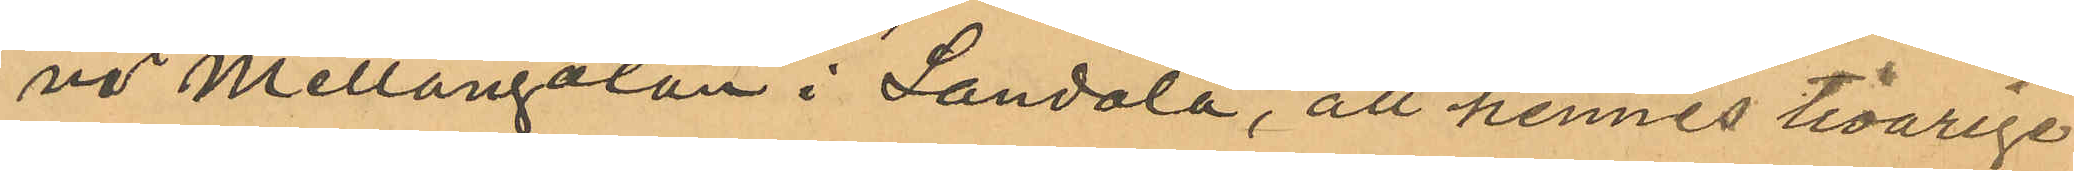vid Mellangatan i Landala, att hennes tioåriga
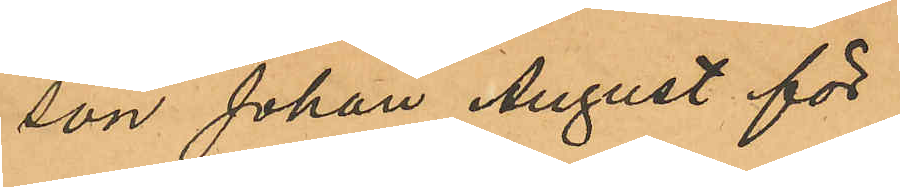son Johan August för
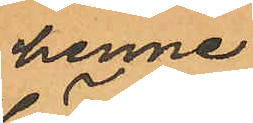henne
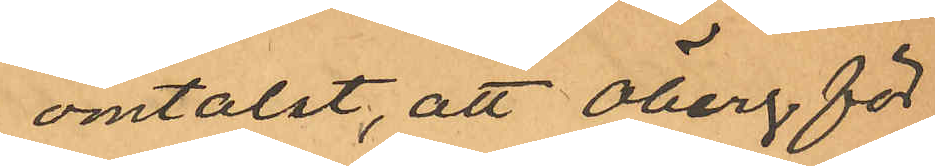omtalat, att Öberg för
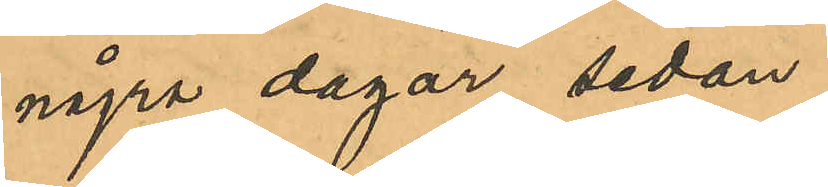några dagar sedan
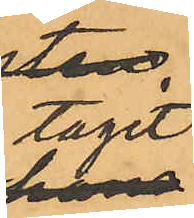tagit
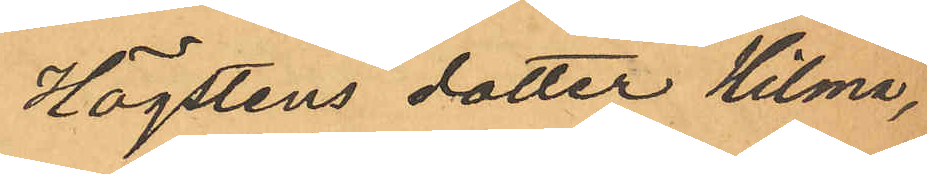Högstens dotter Hilma,
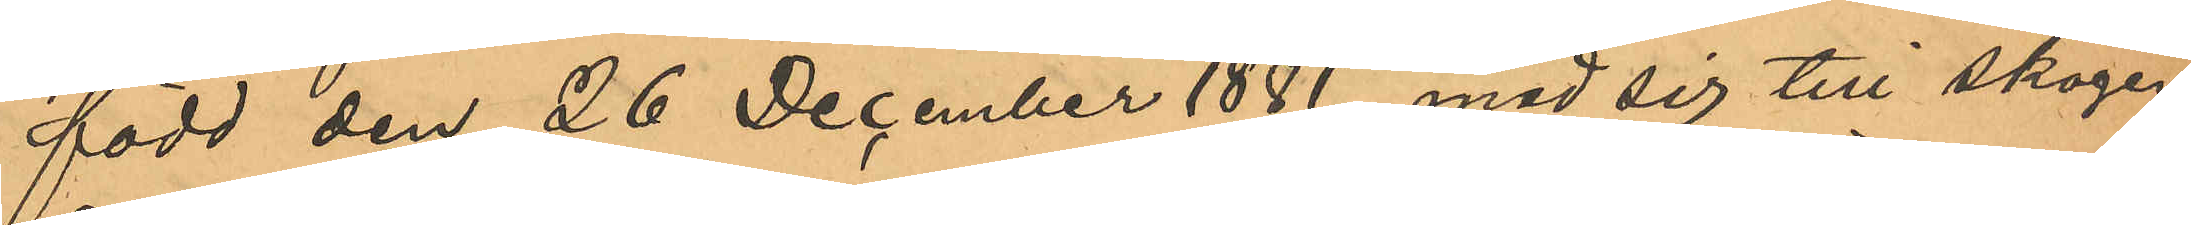född den 26 December 1881, med sig till skogen
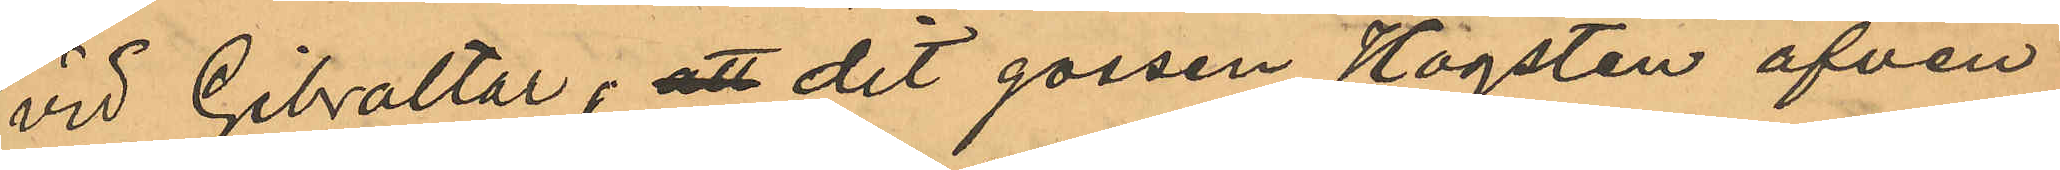vid Gibraltar, att dit gossen Högsten äfven
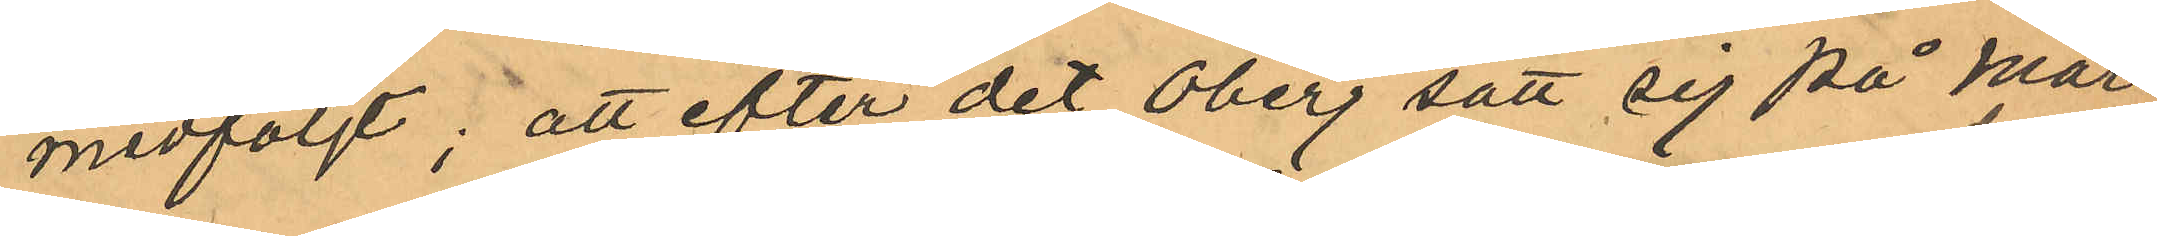medföljt; att efter det Öberg satt sig på mar¬
